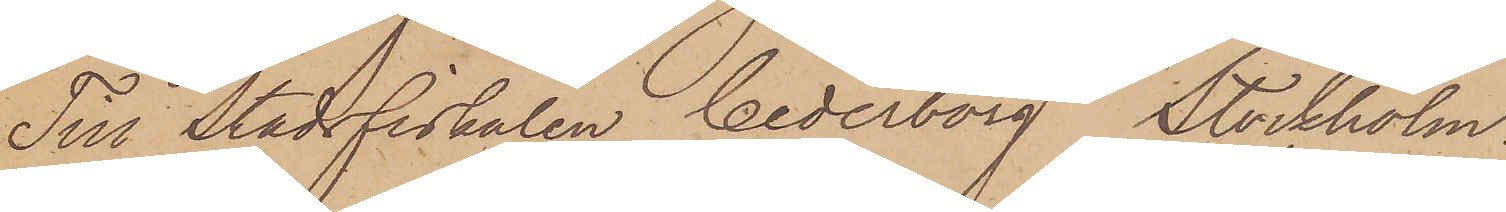Till Stadsfiskalen Cederborg Stockholm.
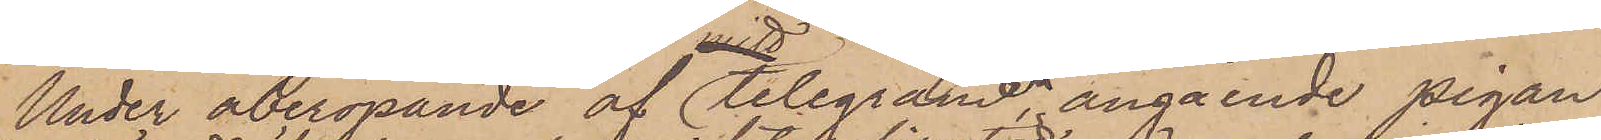Under åberopande af Telegramen, angående pigan
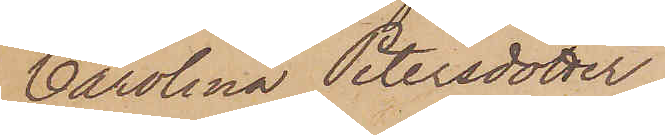Carolina Petersdotter
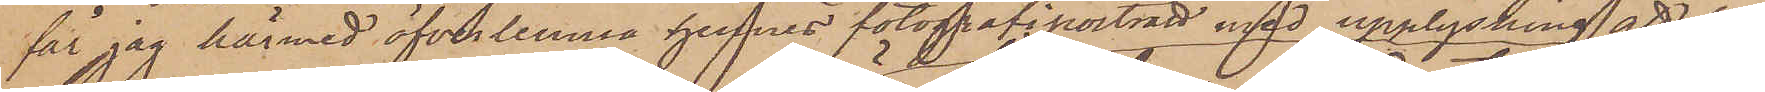får jag härmed öfverlemna hennes fotografiporträtt med upplysning att hon
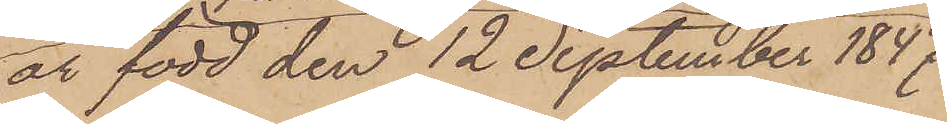är född den 12 September 1847
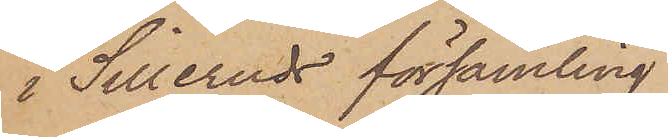i Silleruds församling.
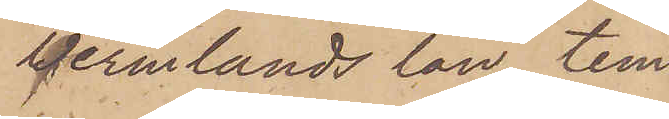Vermlands län, tem¬
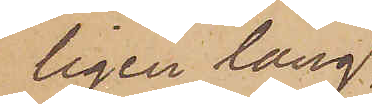ligen lång
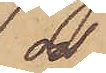och
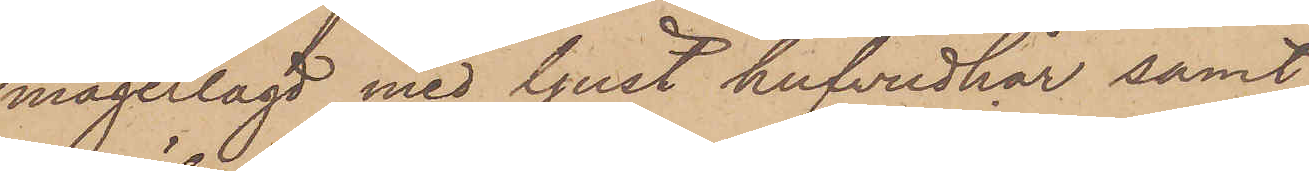magerlagd med ljust hufvudhår samt
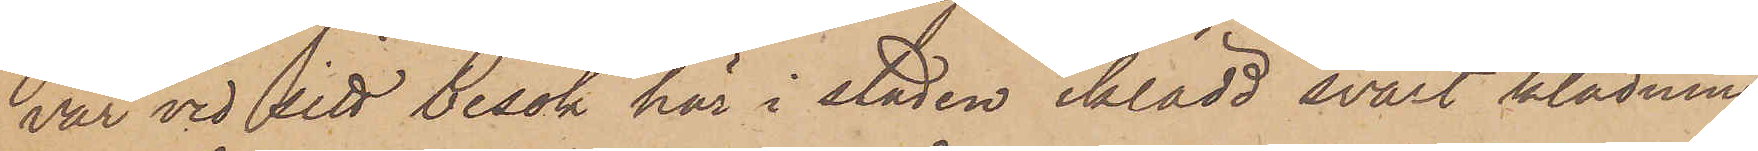var vid vid besök här i staden iklädd svart klädning,
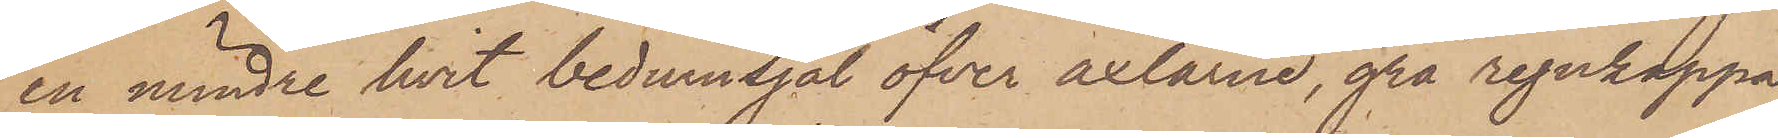en mindre hvit beduinsjal öfver axlarne, grå regnkappa,
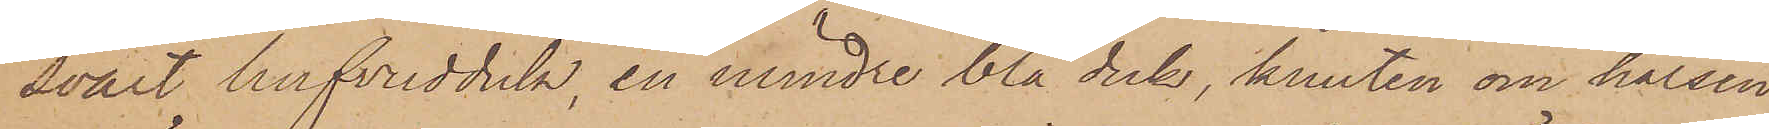svart hufvudduk, en mindre blå duk, knuten om halsen
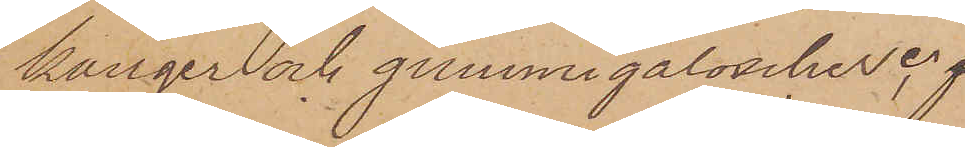känger och gummigaloscher,
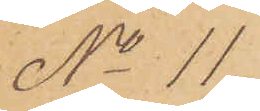No 11
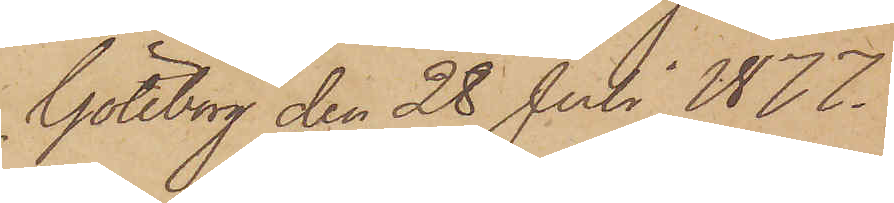Göteborg den 28 Juli 1877.
